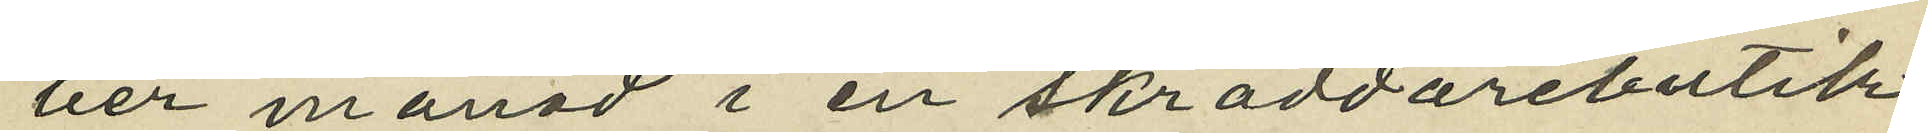ber månad i en skräddarebutik
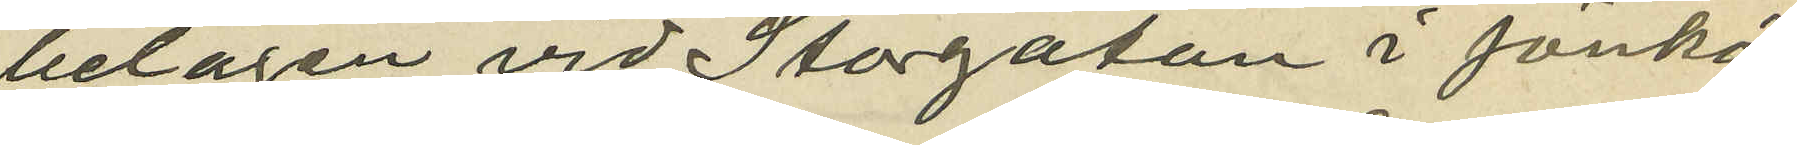belägen vid Storgatan i Jönkö¬
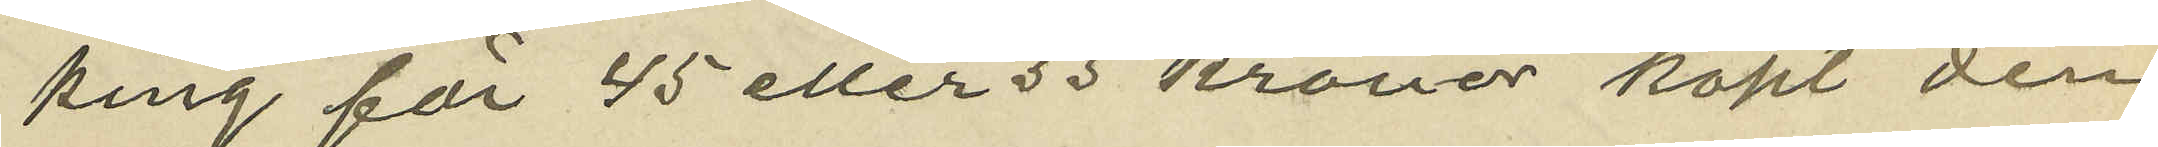ping för 45 eller 55 kronor köpt den
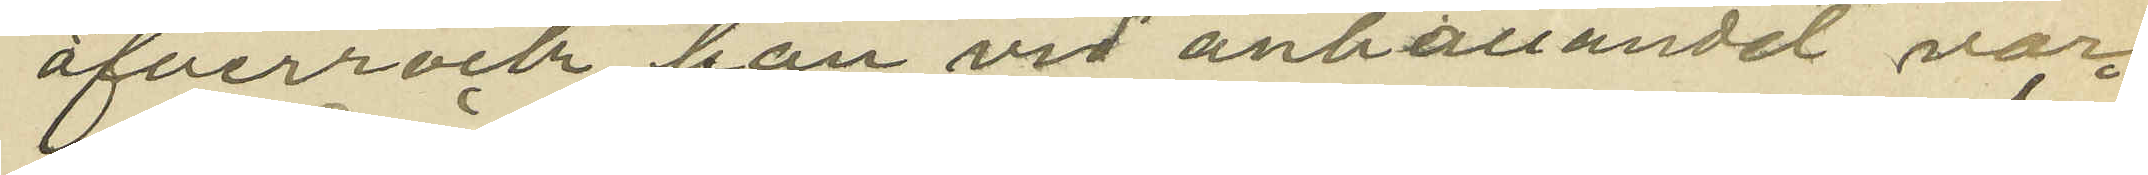öfverrock han vid anhållandet var
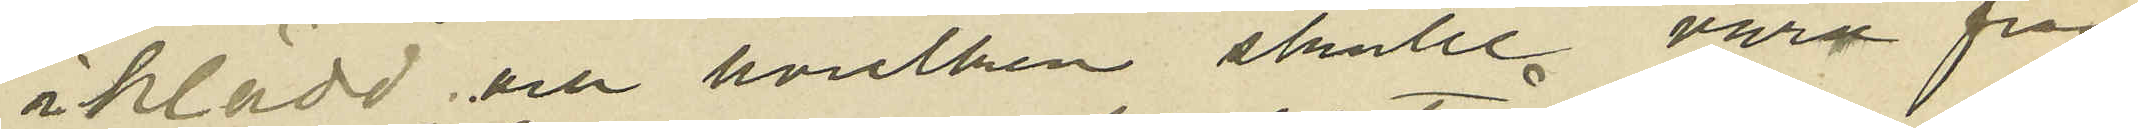iklädd och hvilken skulle vara från
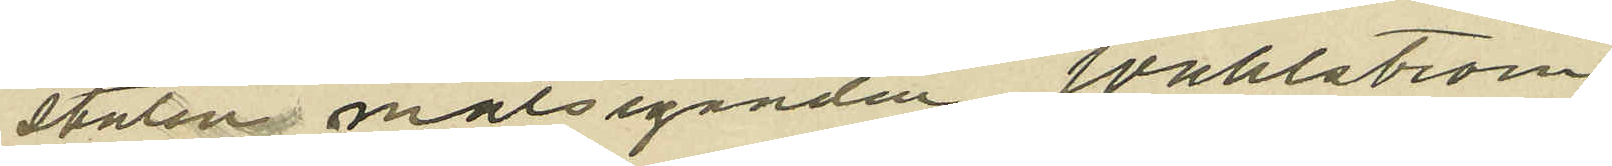staten målseganden Wahlström
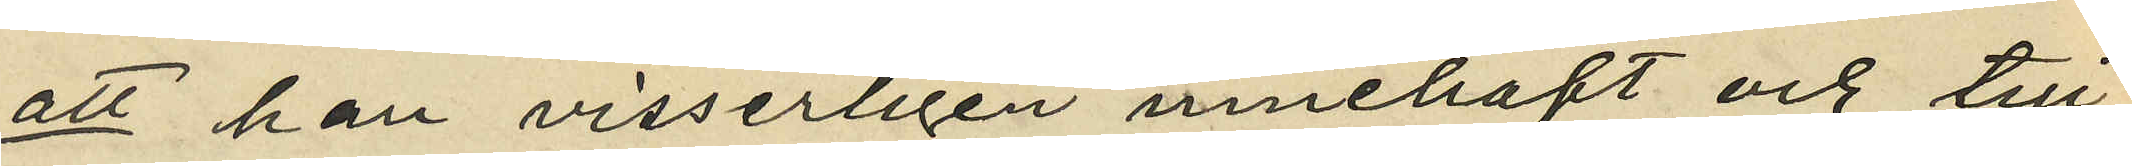att han visserligen innehaft och till
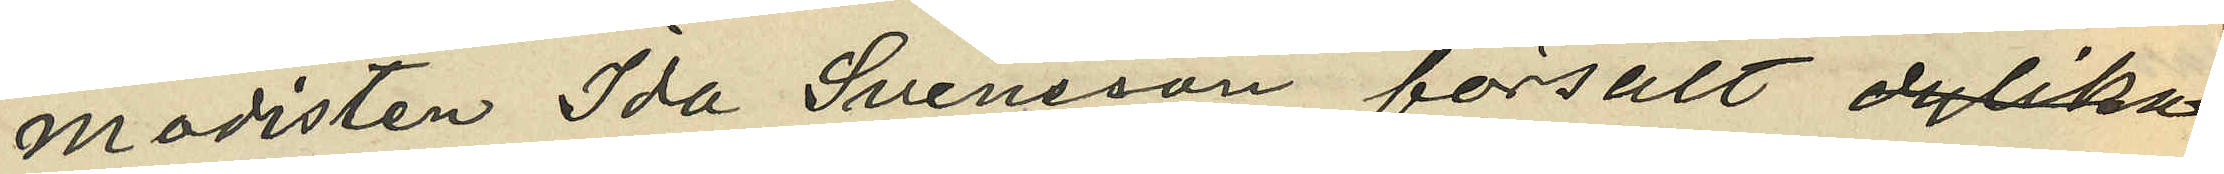modisten Ida Svensson försålt
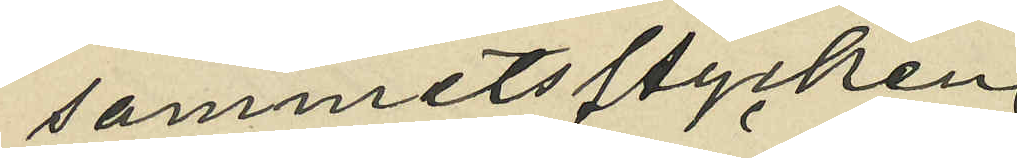sammetsstycken
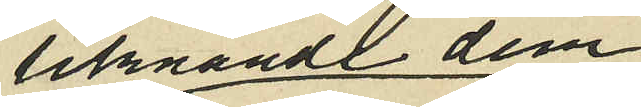liknande dem
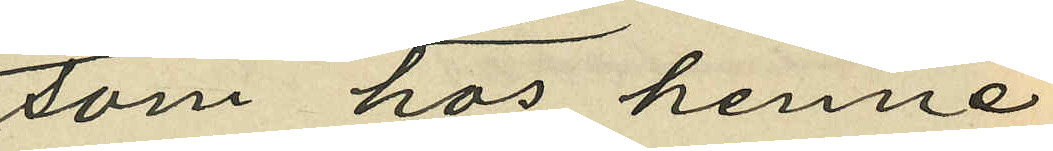som hos henne
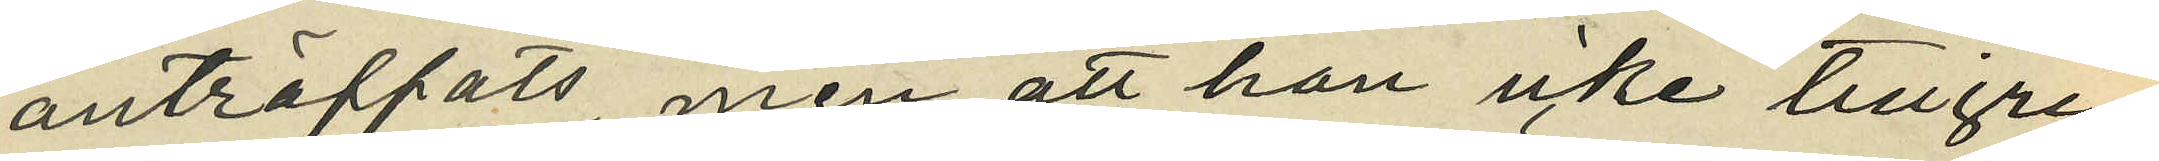anträffats, men att han icke tillgri¬
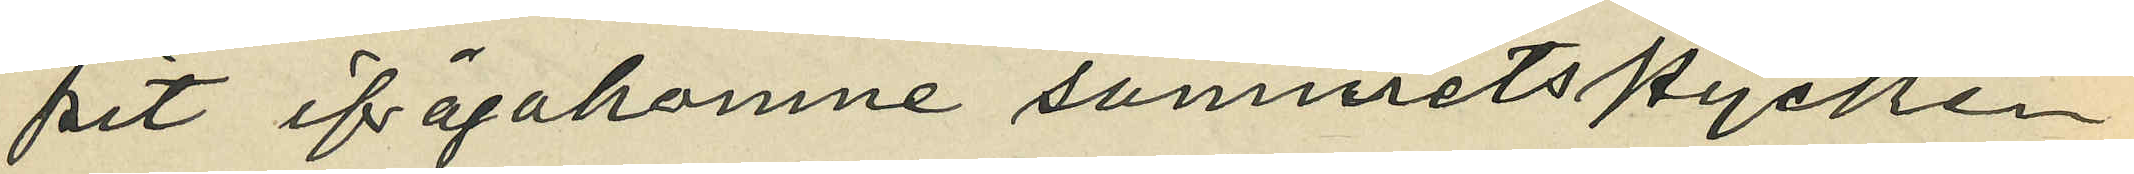pit ifrågakomne sammetstycken
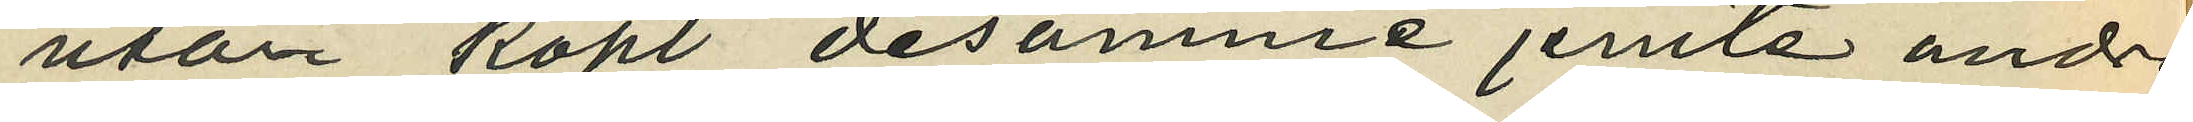utan köpt desamme jemte andra
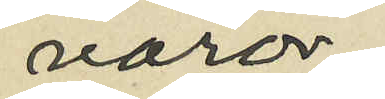varor,
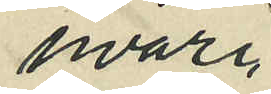hvari¬
